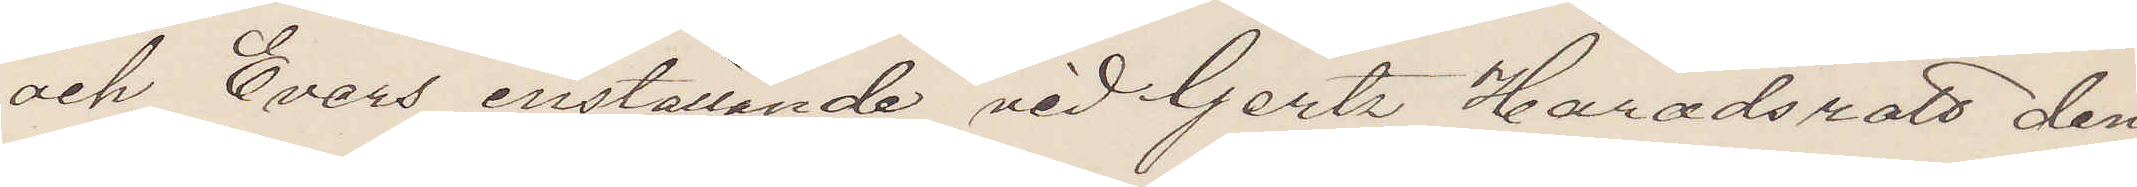och Evers inställande vid Gertz Häradsrätt den
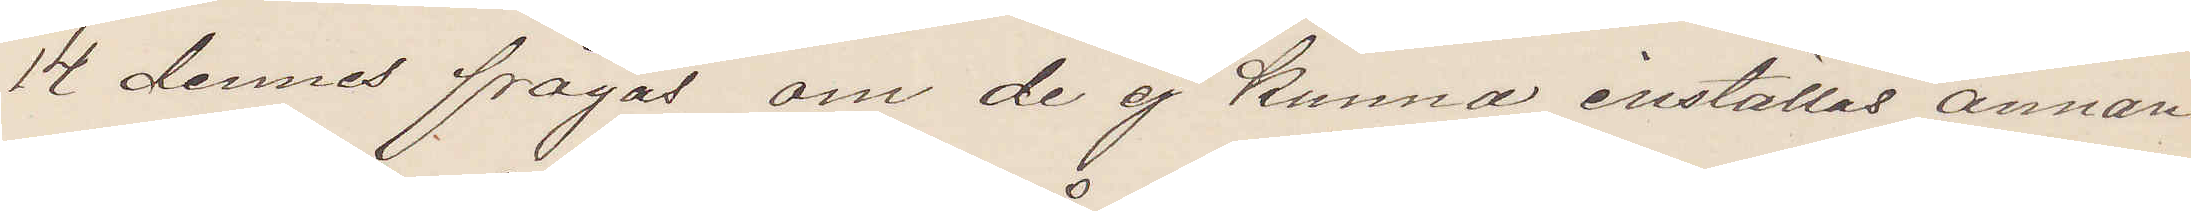14 dennes frågas om de ej kunna inställas annan
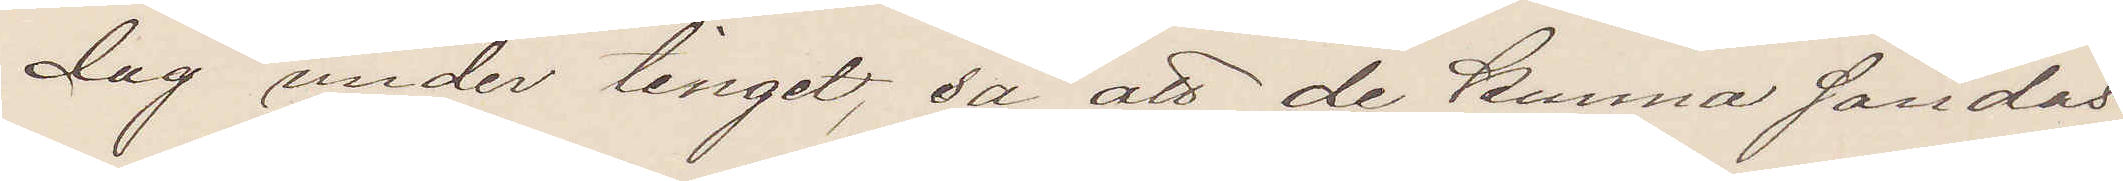dag under tinget, så att de kunna färdas
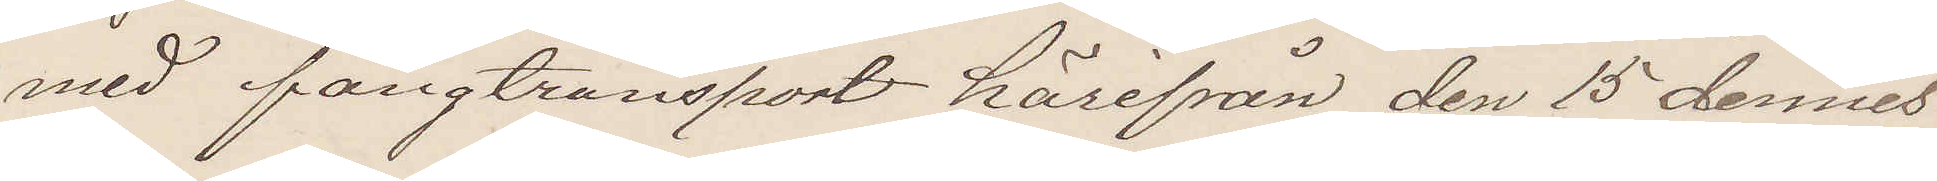med fångtransport härifrån den 15 dennes.
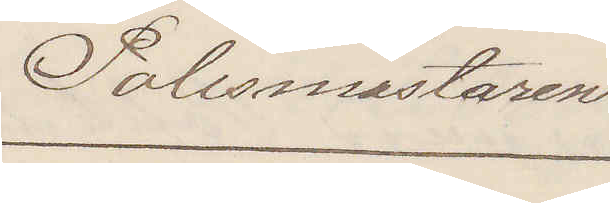Polismästaren.
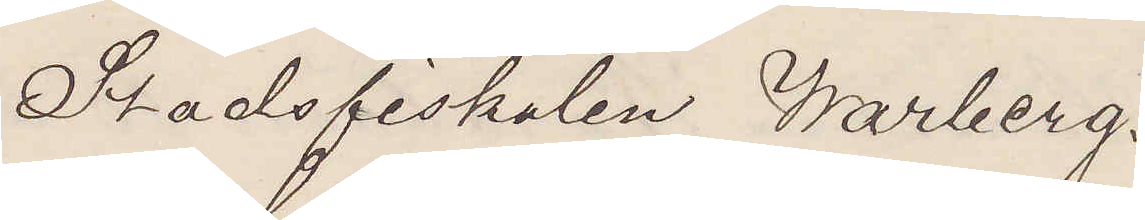Stadsfiskalen Warberg.
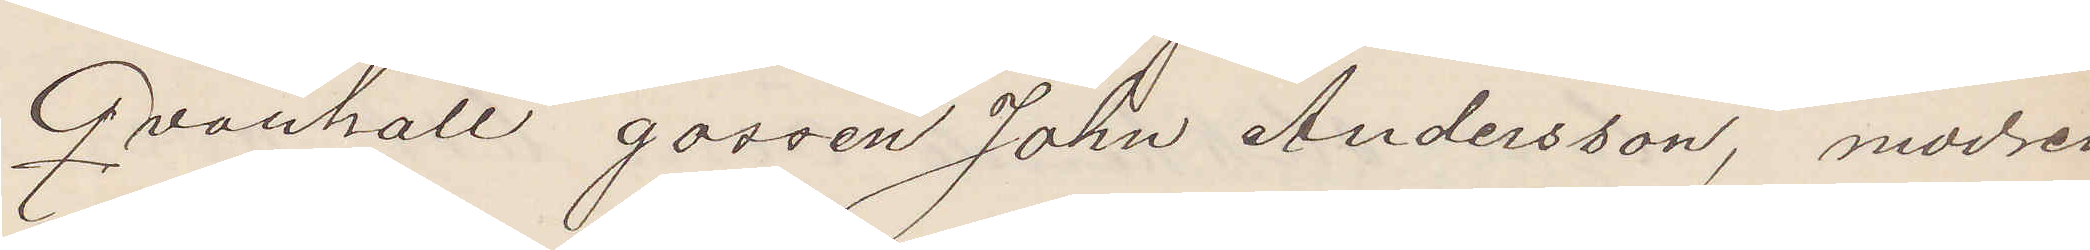Qvarhåll gossen John Andersson, modren
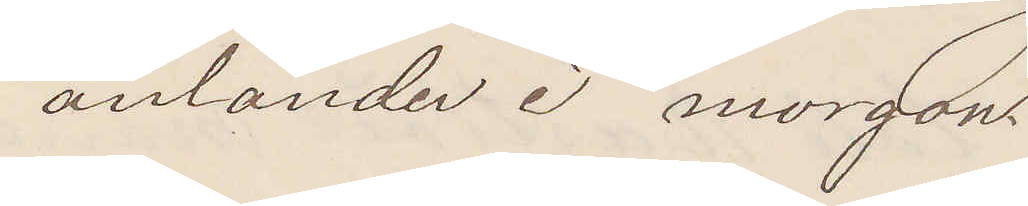anländer i morgon.
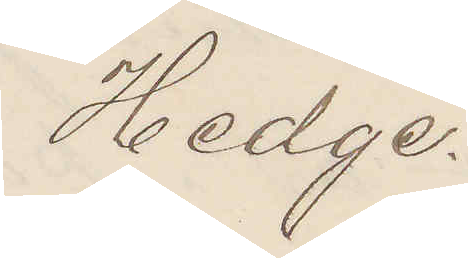Hedge.
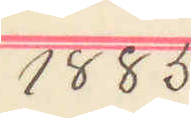1885
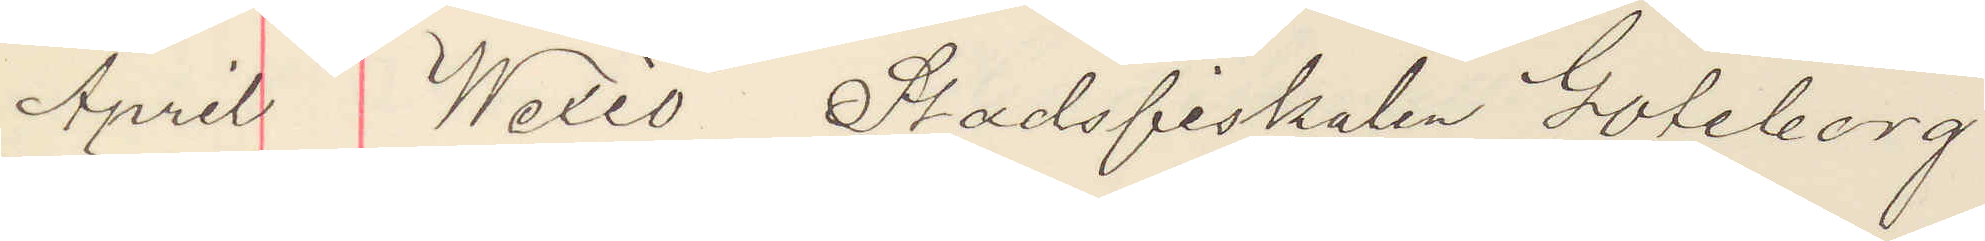April Wexiö Stadsfiskalen Göteborg.
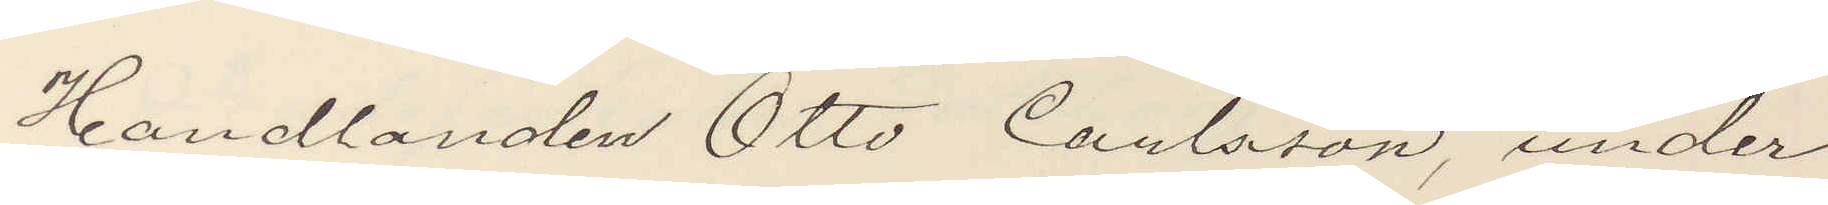Handlanden Otto Carlsson, under¬
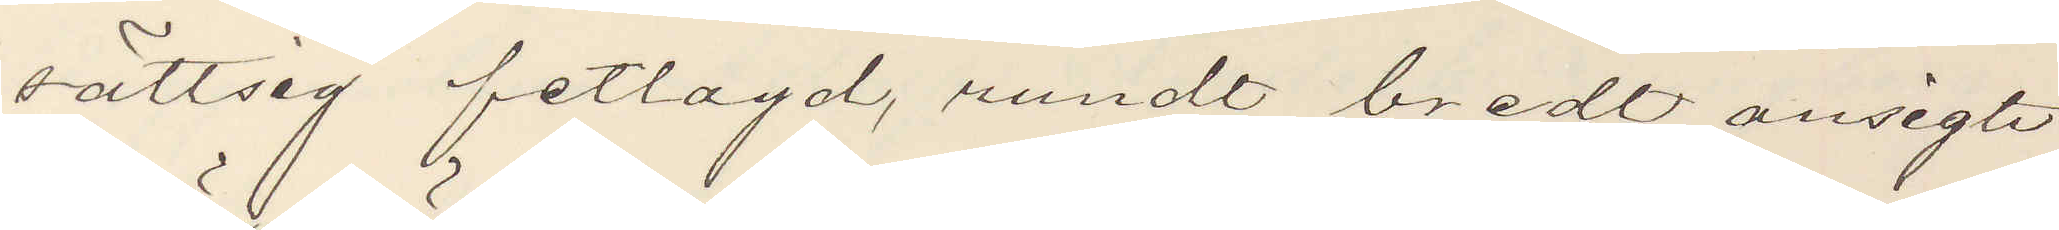sättsig fetlagd, rundt bredt ansigte
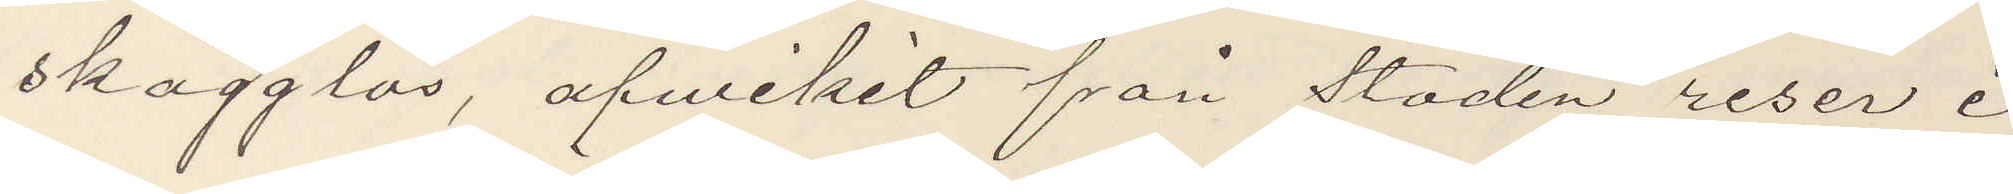skägglös, afvikit från staden reser i
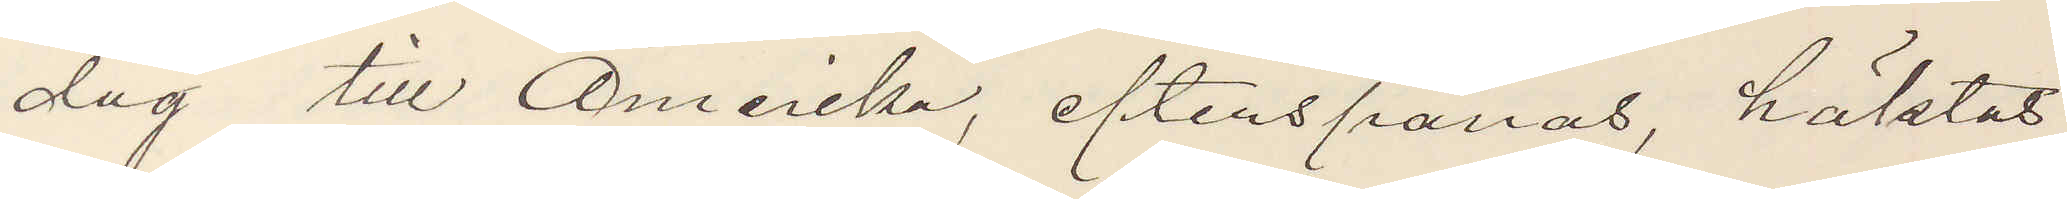dag till Amerika, efterspanas, häktas
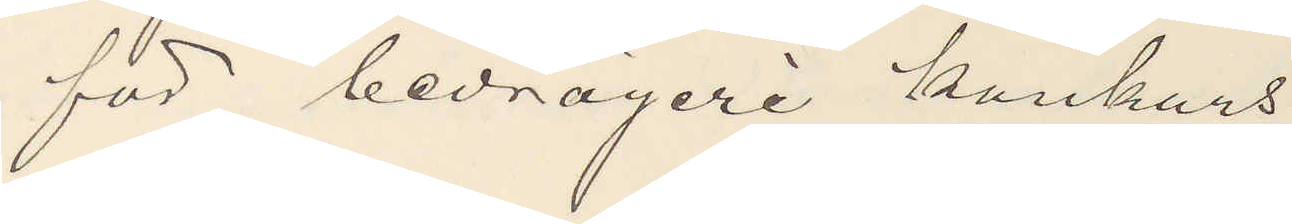för bedrägeri konkurs.
